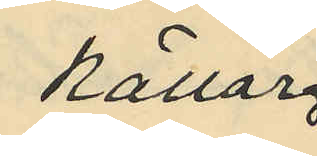källar
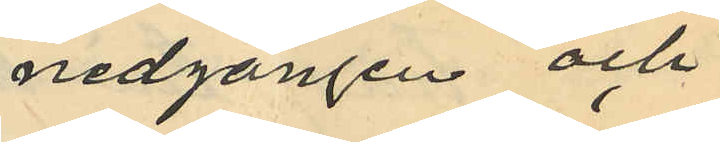nedgången och
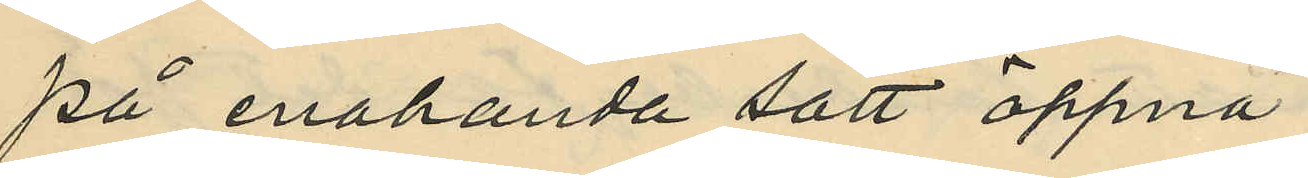på enahanda sätt öppna
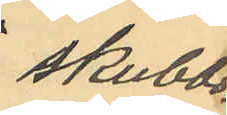skrubb¬
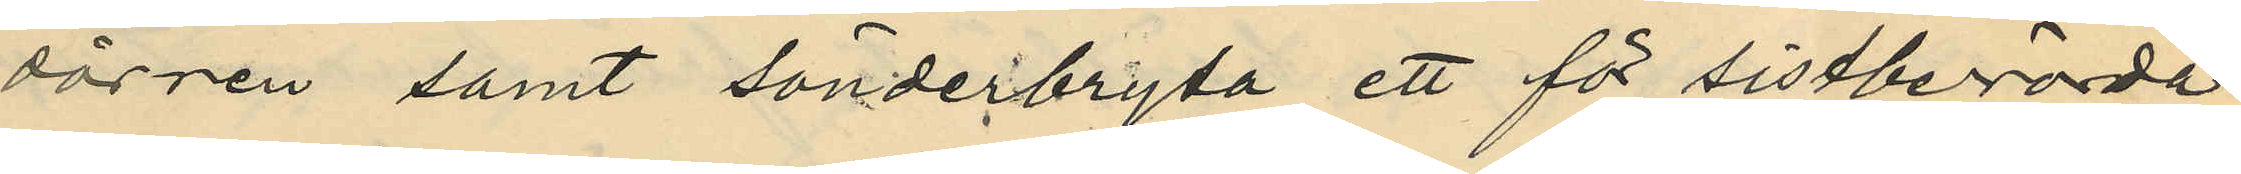dörren samt sönderbryta ett för sistberörde
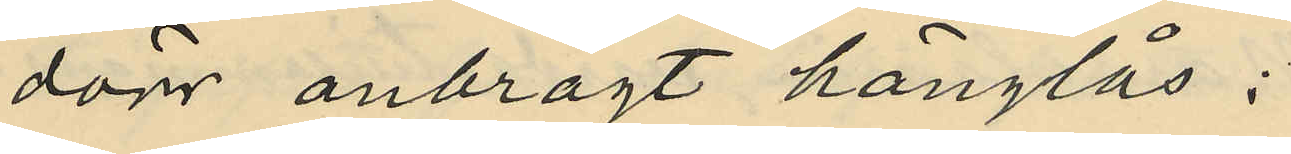dörr anbragt hänglås;
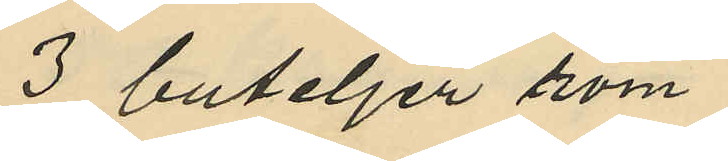3 buteljer rom
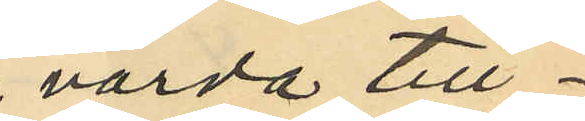värda till
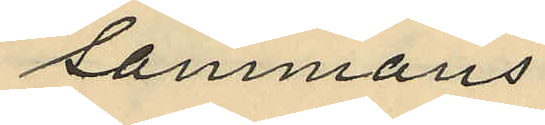sammans
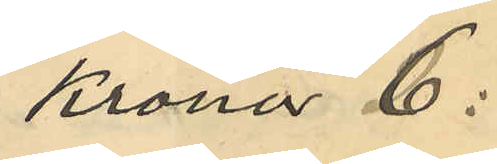Kronor 6:
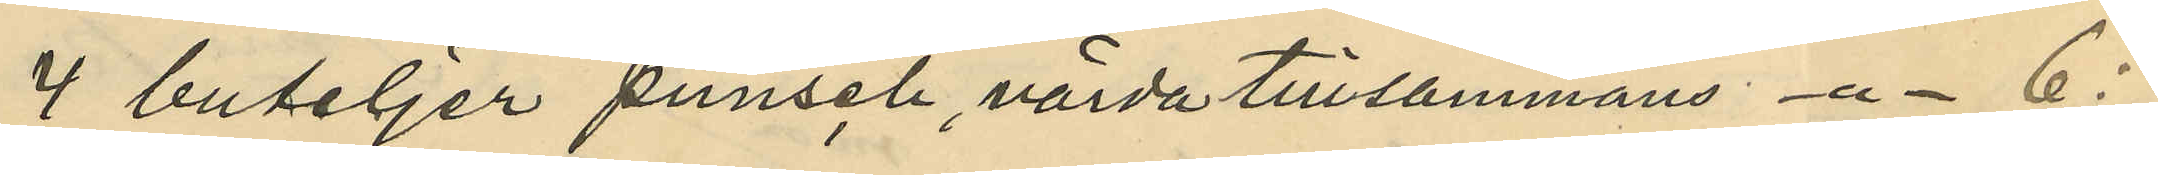4 buteljer punsch, värda tillsammans -"- 6:
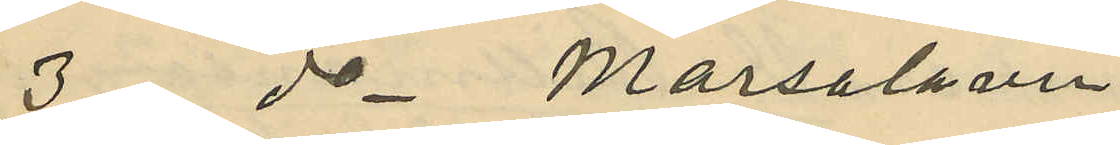3 do Marsalavin
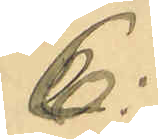6:
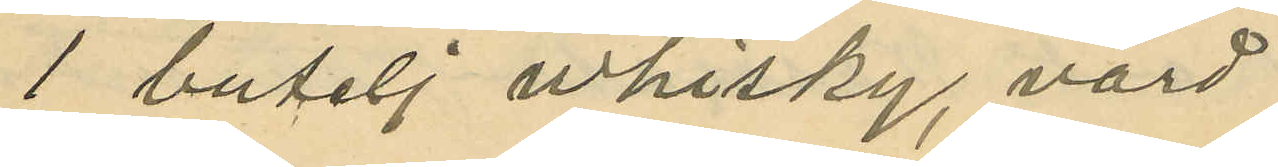1 butelj vhisky, värd
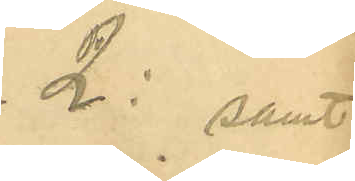2: samt
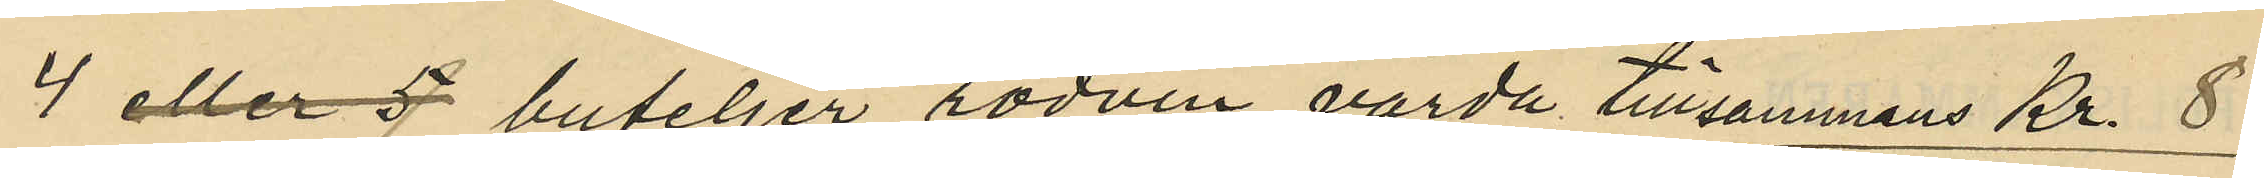4 eller 5 buteljer rödvin värda tillsammans Kr. 8
